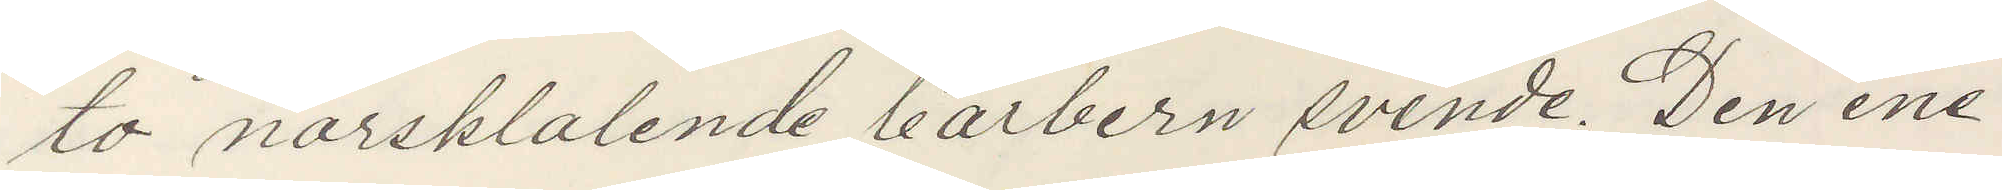to norsktalende barbern svende. Den ene
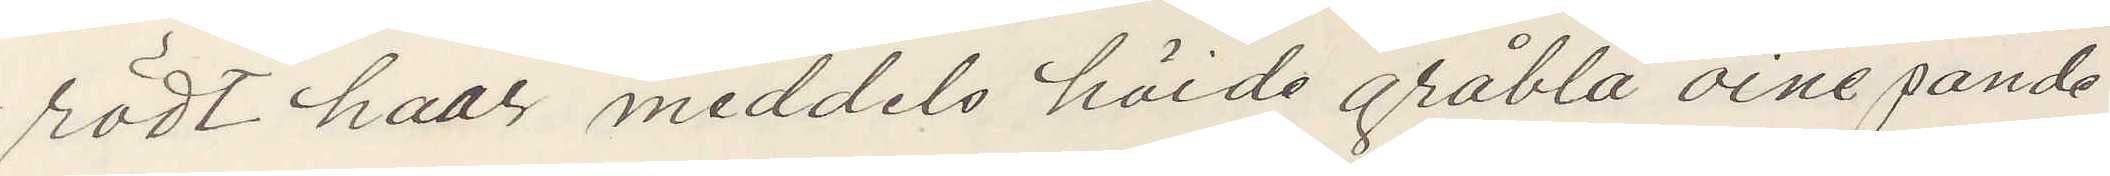rödt haar meddels höide gråblå öine pande
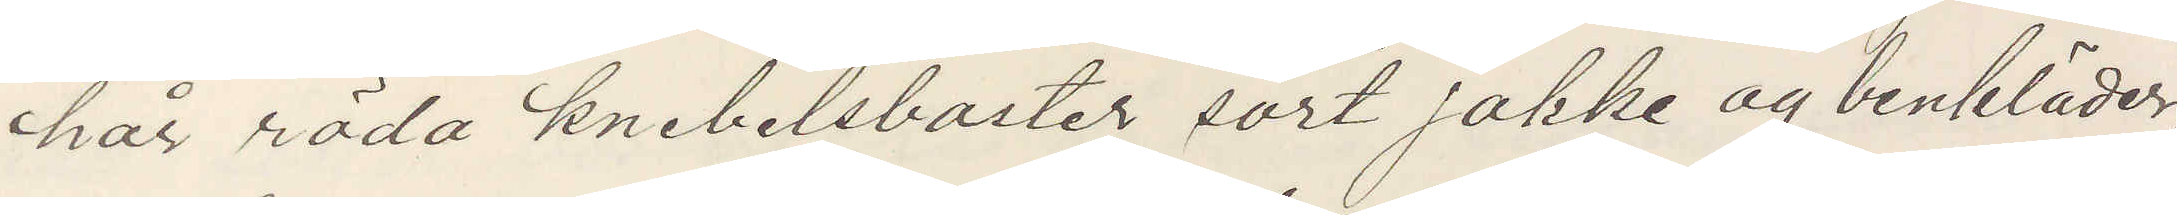hår röda knebelsbarter sort jakke og benkläder,
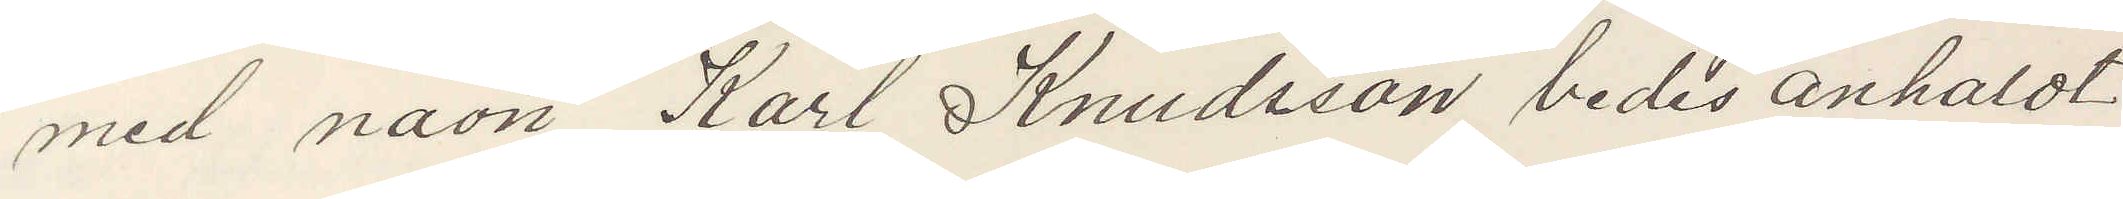med navn Karl Knudsson bedes anholdt
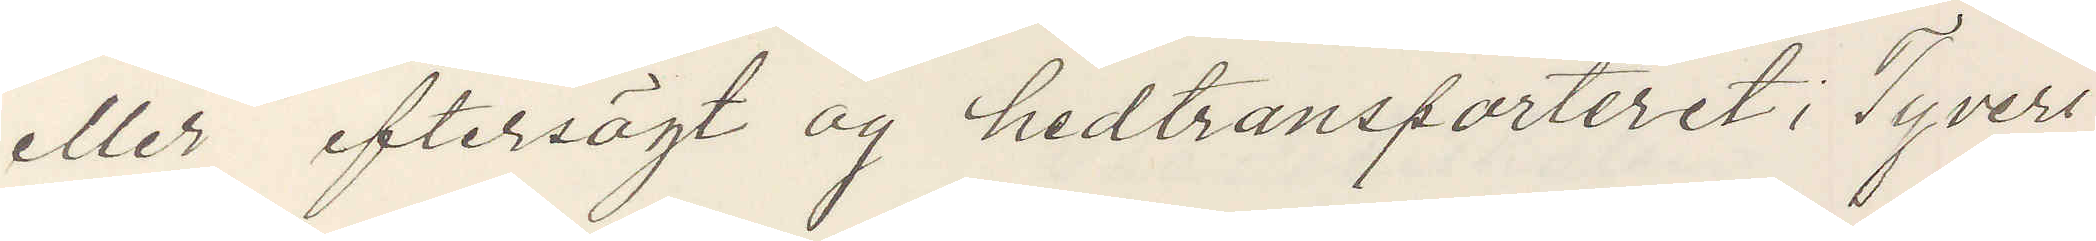eller eftersögt og hedtransporteret i Tyveri
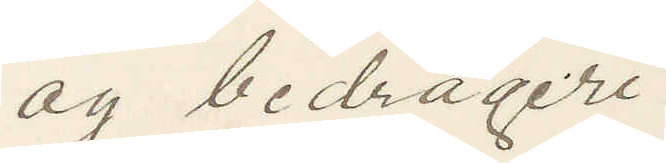og bedrageri
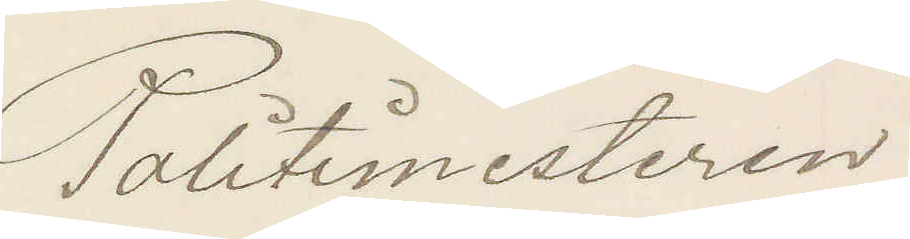Politimesteren
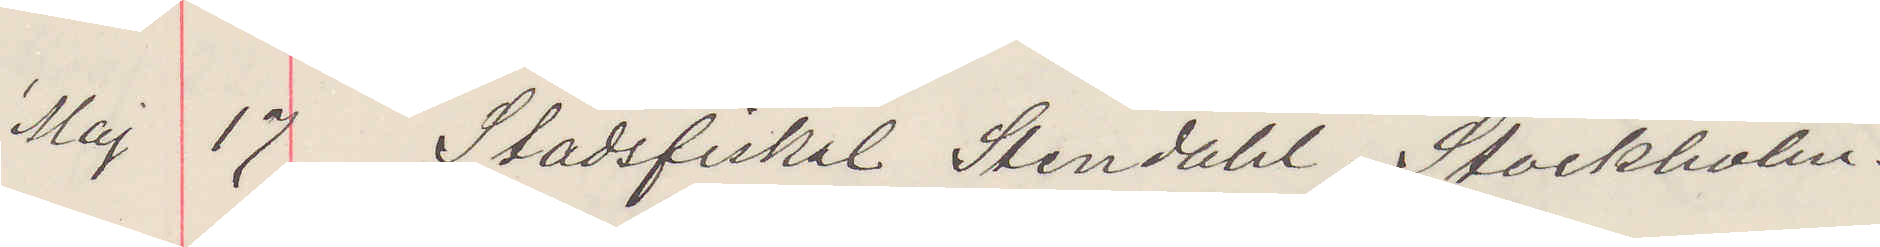Mj 17 Stadsfiskal Stendahl. Stockholm.
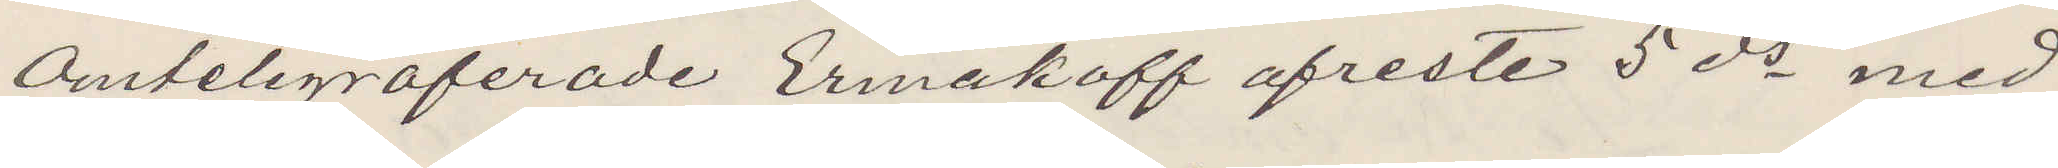Omtelegraferade Ermakoff afreste 5 ds med
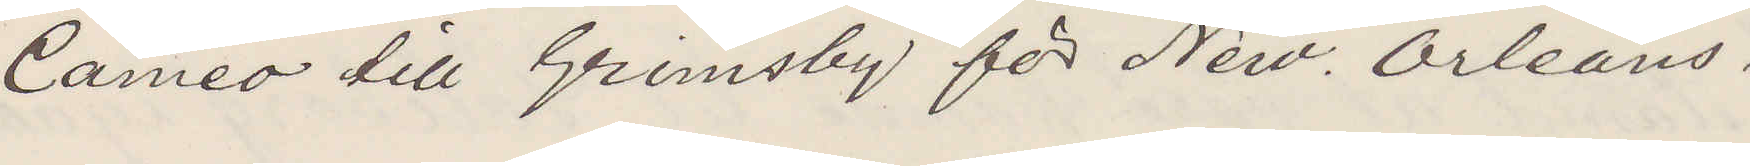Cameo till Grimsby för New Orleans.
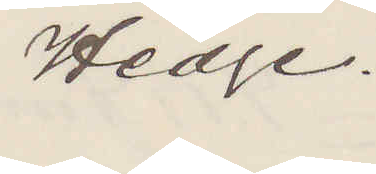Hedge.
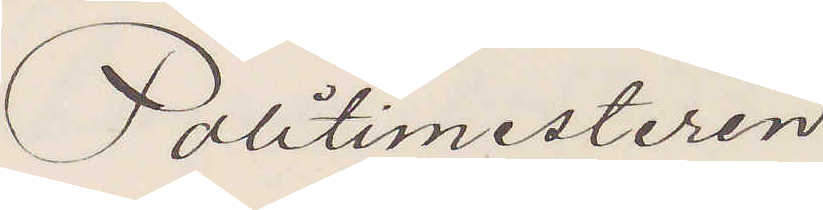Politimesteren
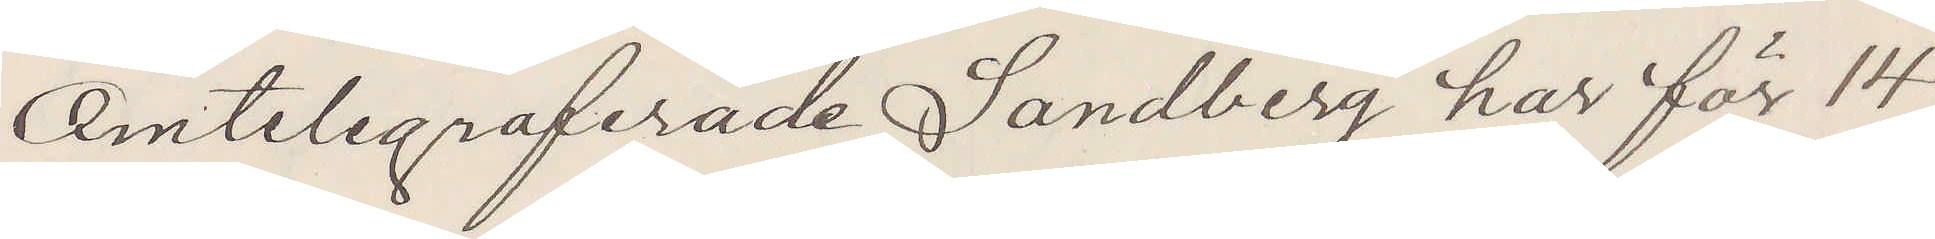Omtelegraferade Sandberg har för 14
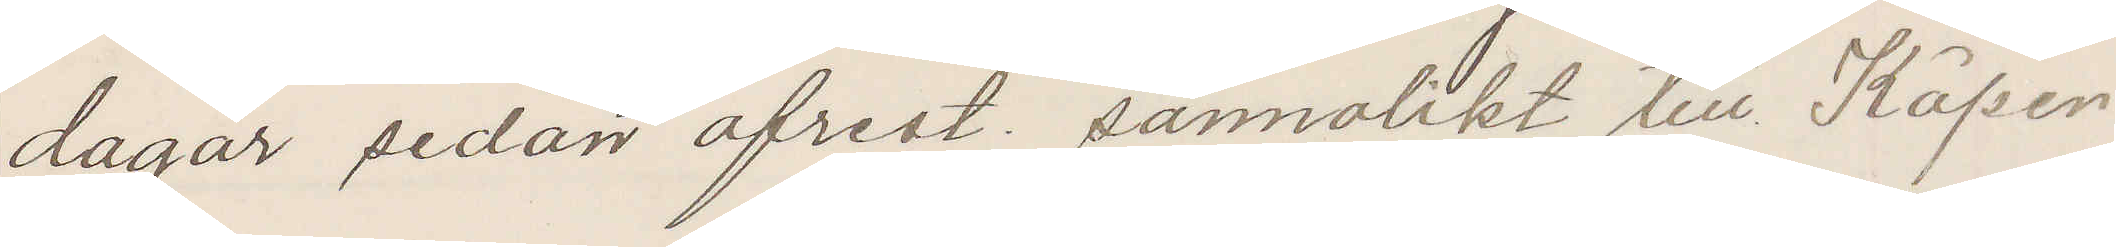dagar sedan afrest, sannolikt  till Köpen¬
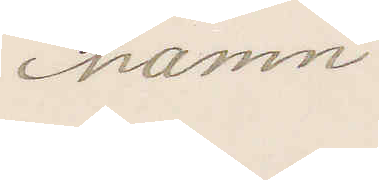hamn.
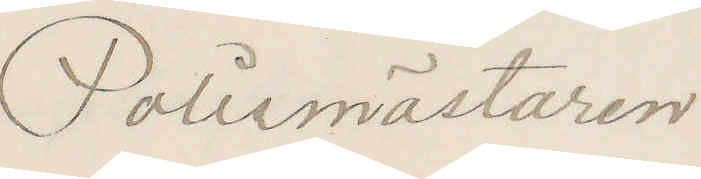Polismästaren
